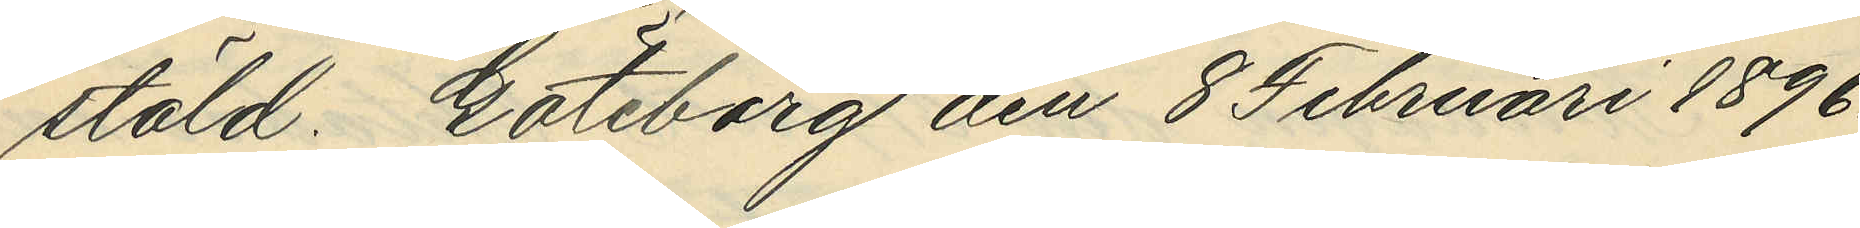stöld. Göteborg den 8 Februari 1896.
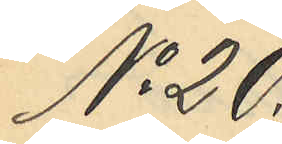No 20
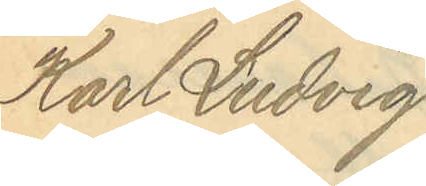Karl Ludvig
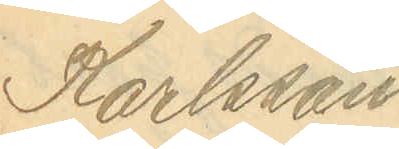Karlsson.
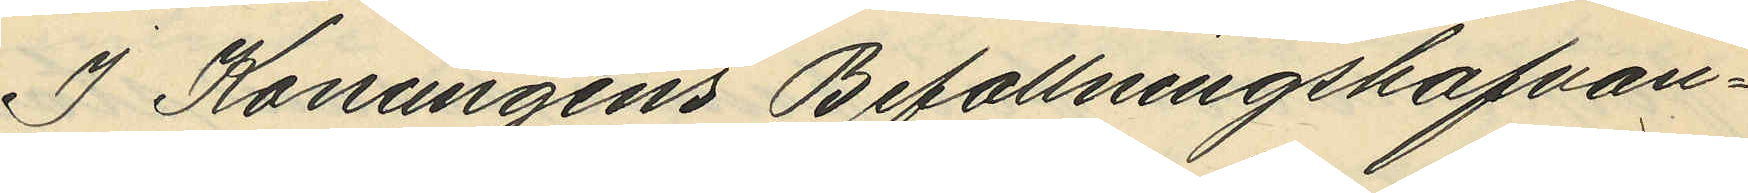I Konungens Befallningshafvan¬
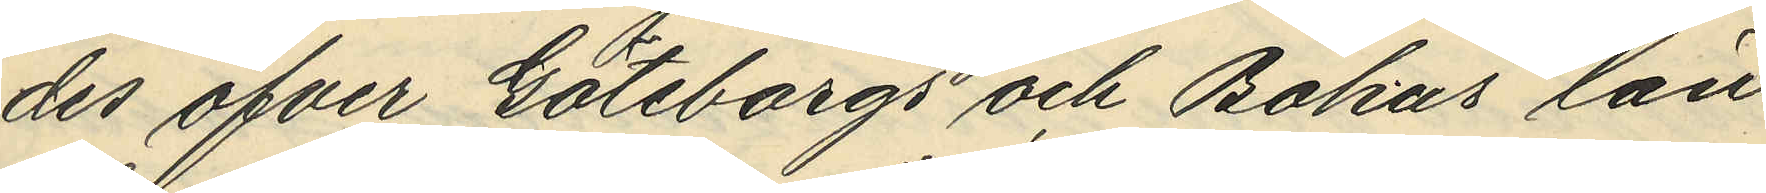des öfver Göteborgs och Bohus län
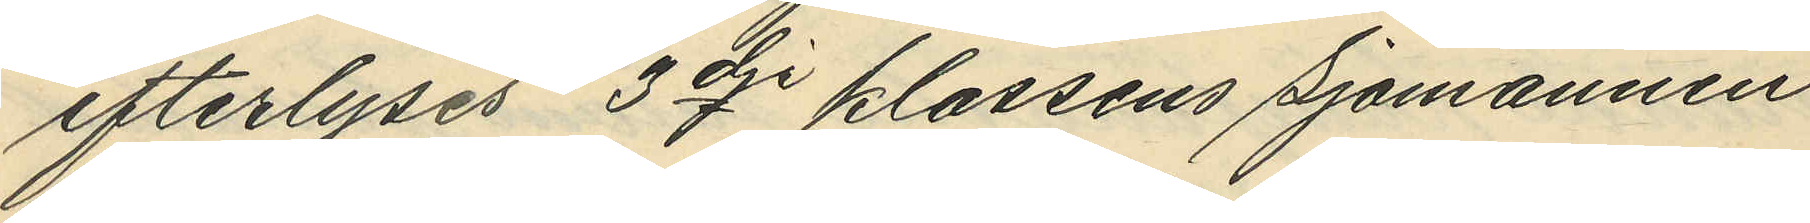efterlyses 3dje klassens Sjömannen
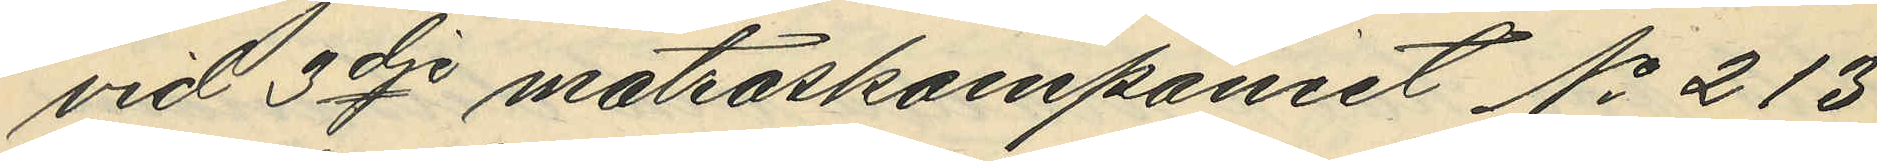vid 3dje matroskompaniet No 213
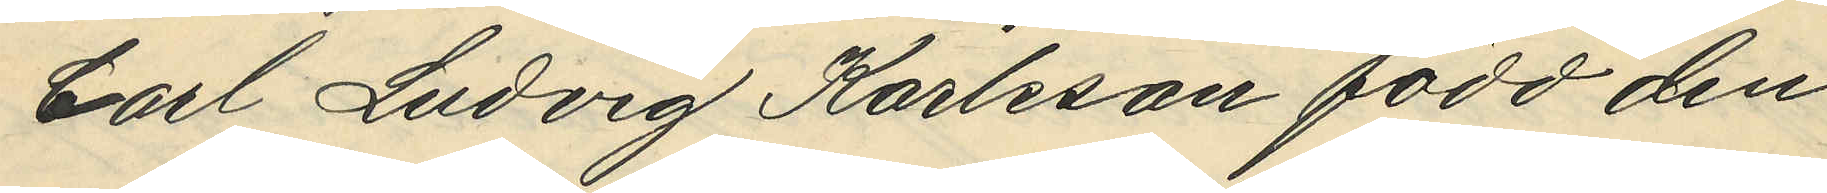Carl Ludvig Karlsson född den
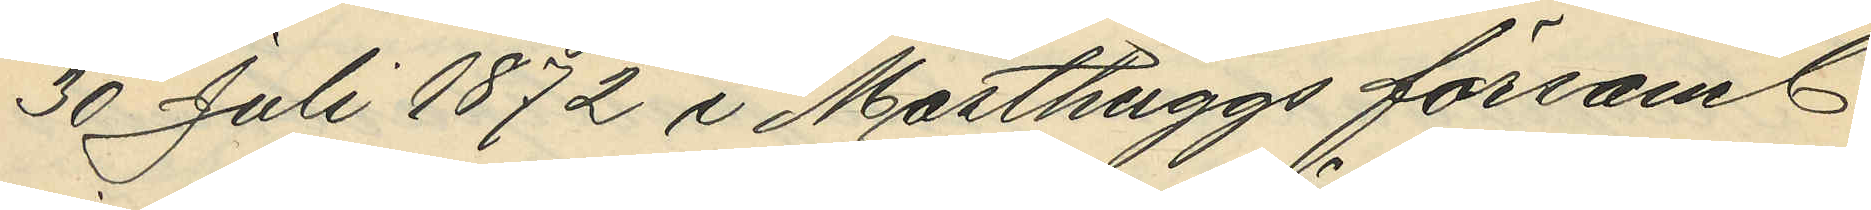30 juli 1872 i Masthuggs försam.
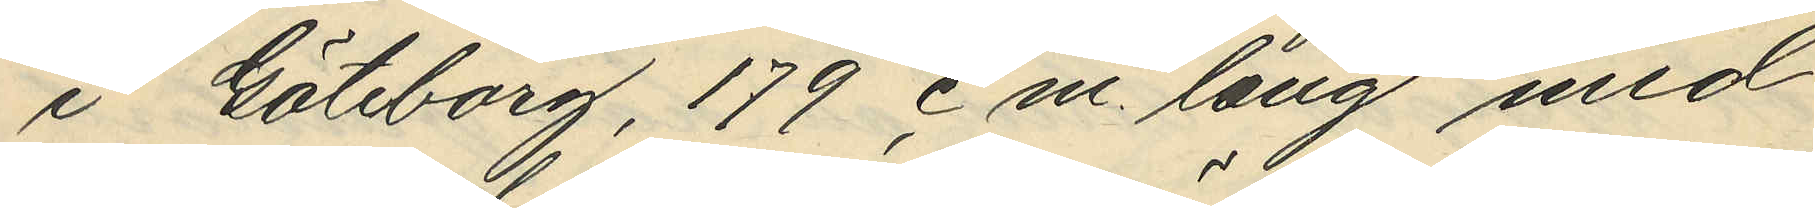i Göteborg, 179 cm lång med
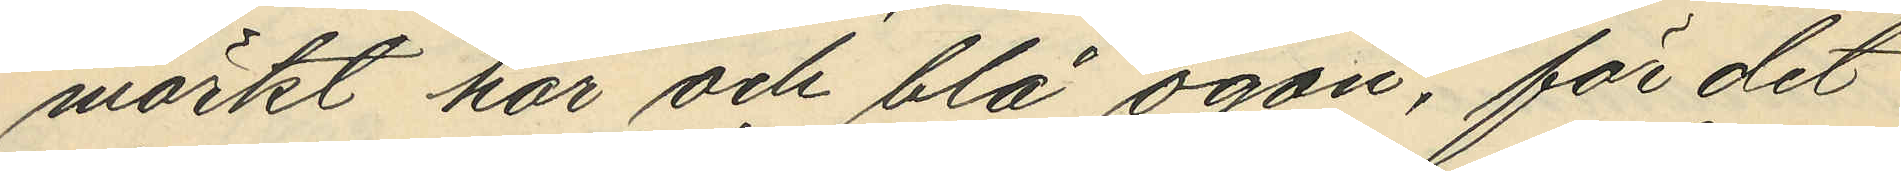mörkt hår och blå ögon, för det
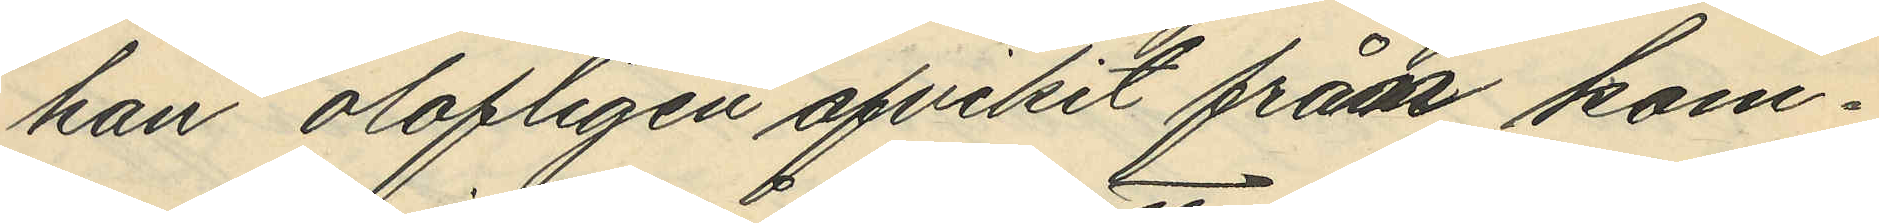han olofligen afvikit från kom¬
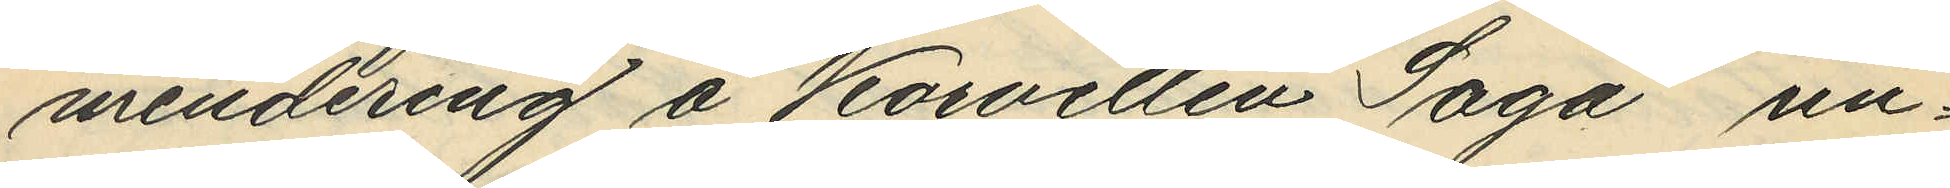mendering å Korvetten "Saga" un¬
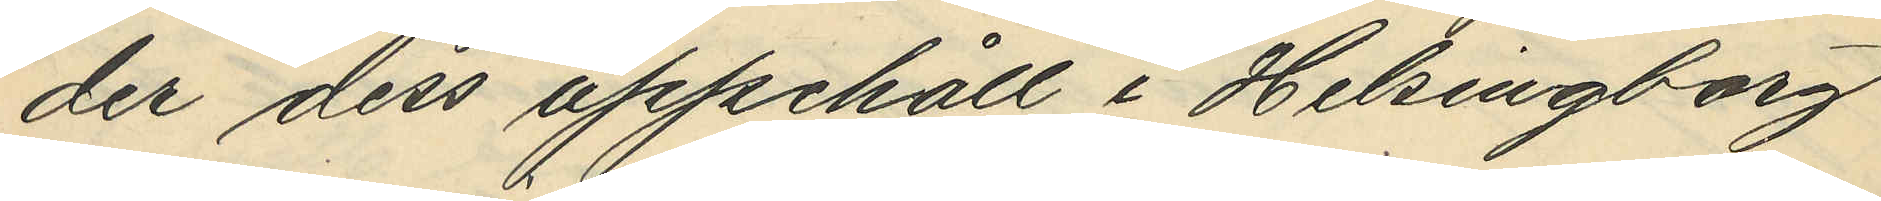der dess uppehåll i Helsingborg
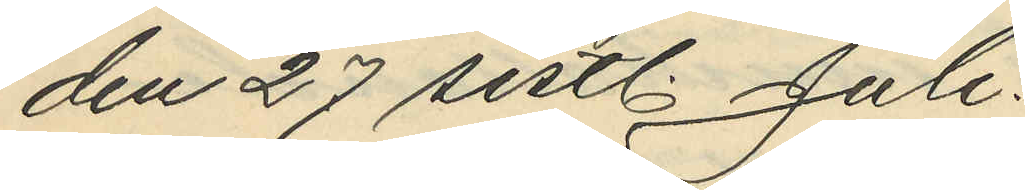den 27 sistl. Juli.
